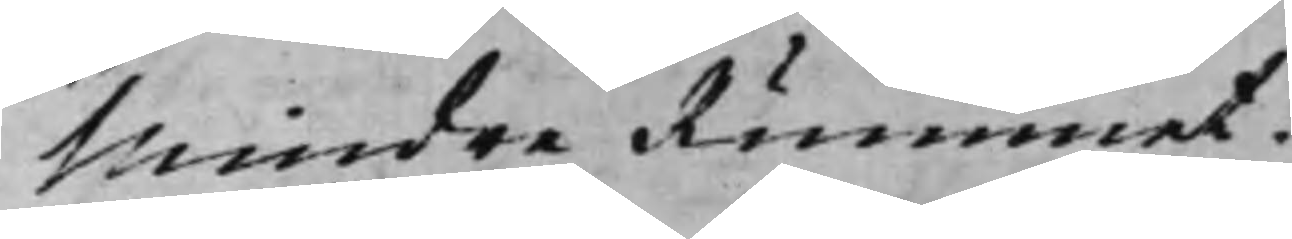Mindre Rummet.
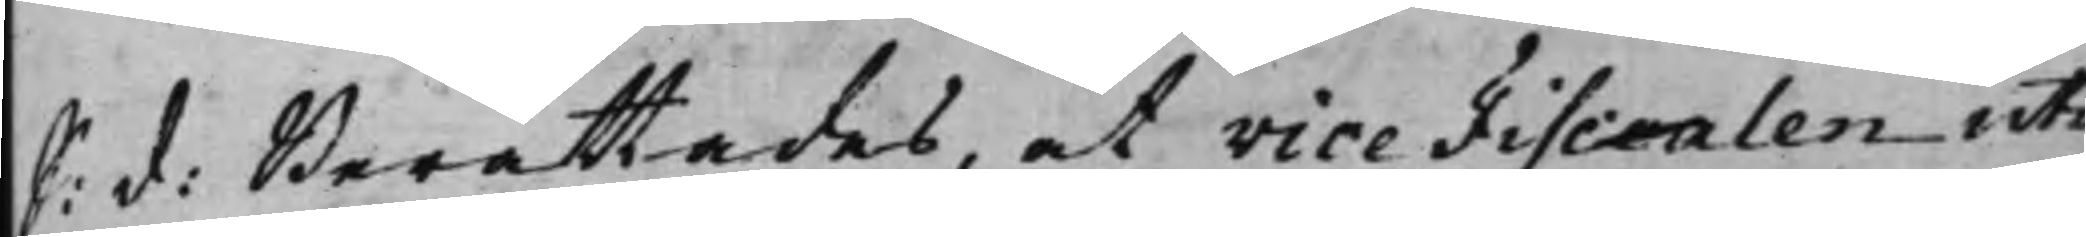S: d: Berättades, at Vice Fiscalen uti
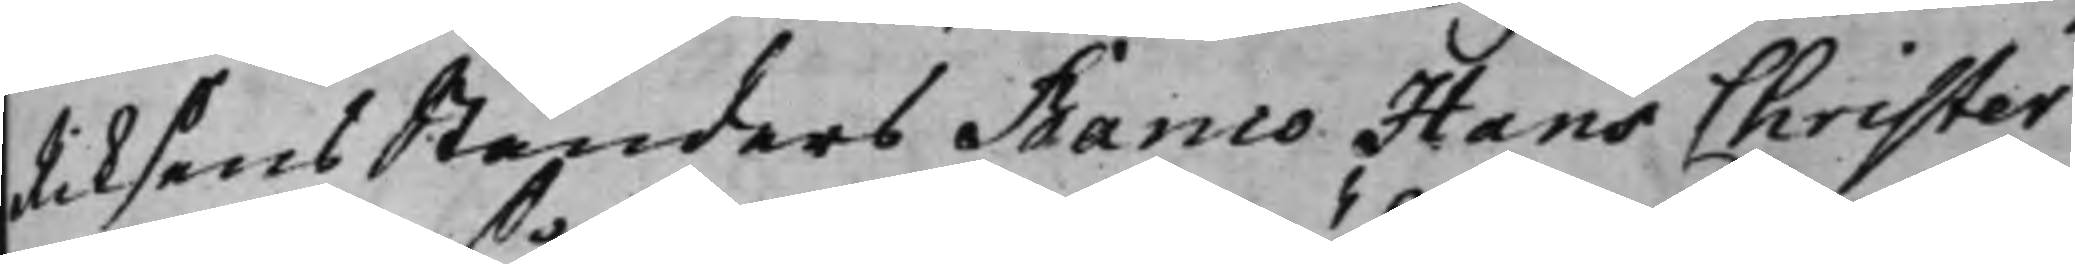Riksens Ständers Banco Hans Christer
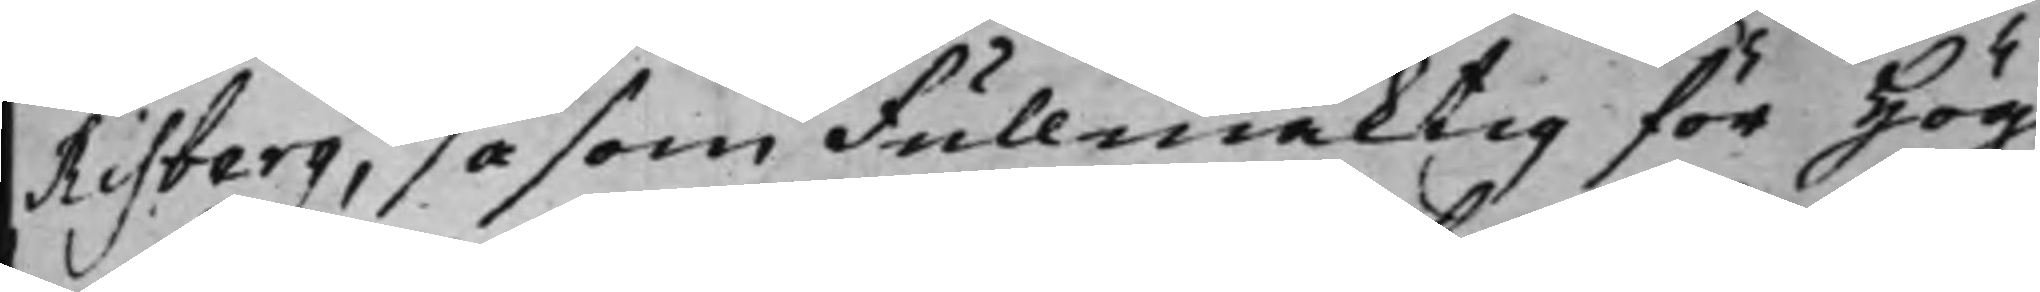Risberg, såsom Fullmäktig för Hög¬
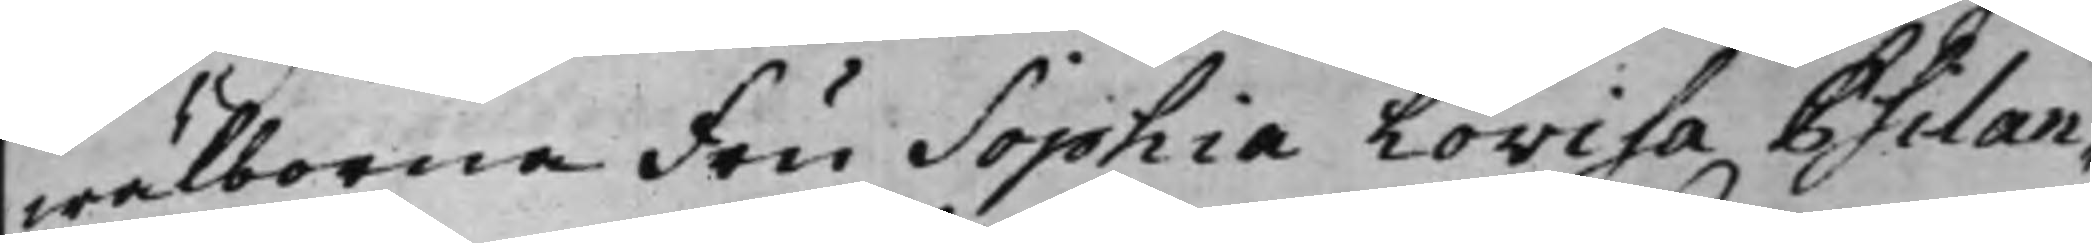wälborne Fru Sophia Lovisa Psilan¬
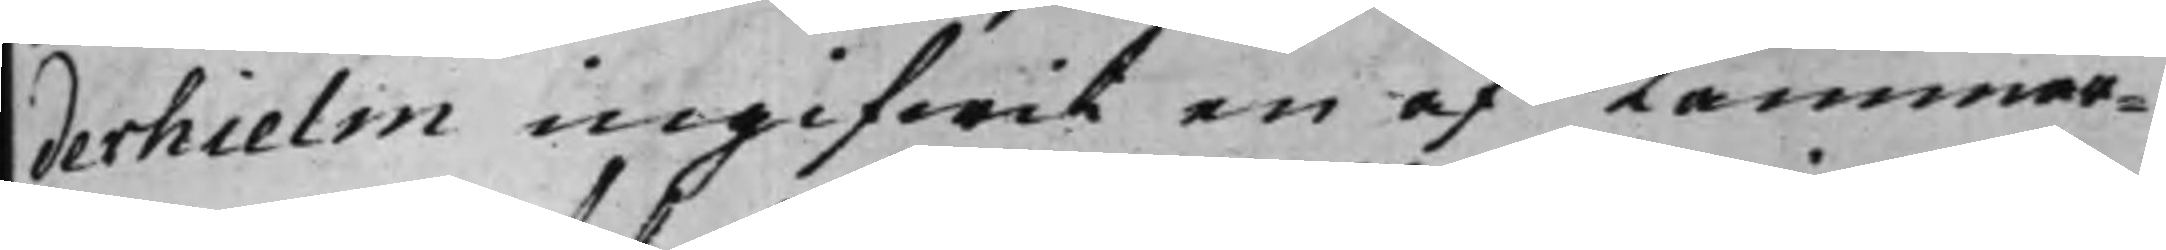derhielm ingifwit en af Kammar¬
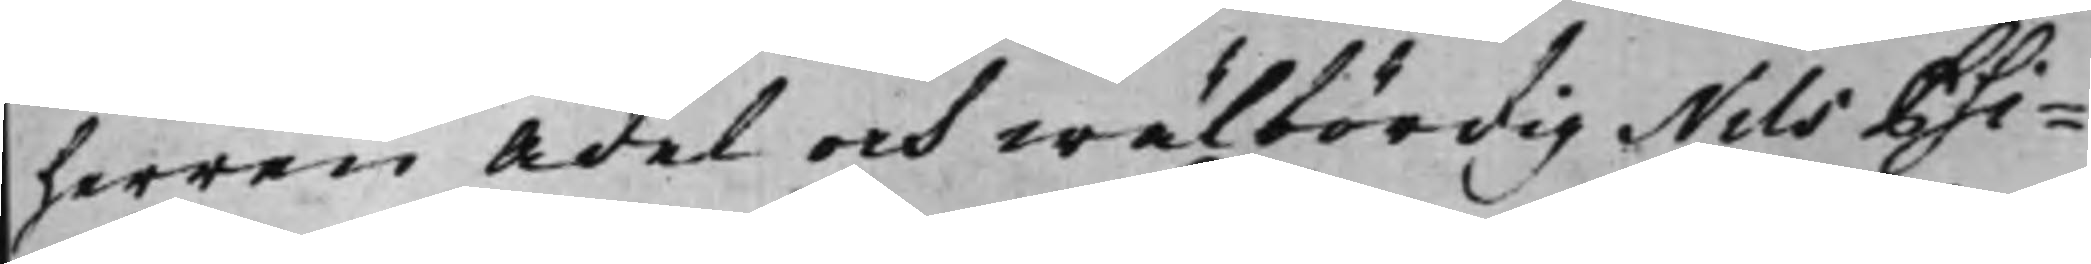herren Ädel och wälbördig Nils Psi¬
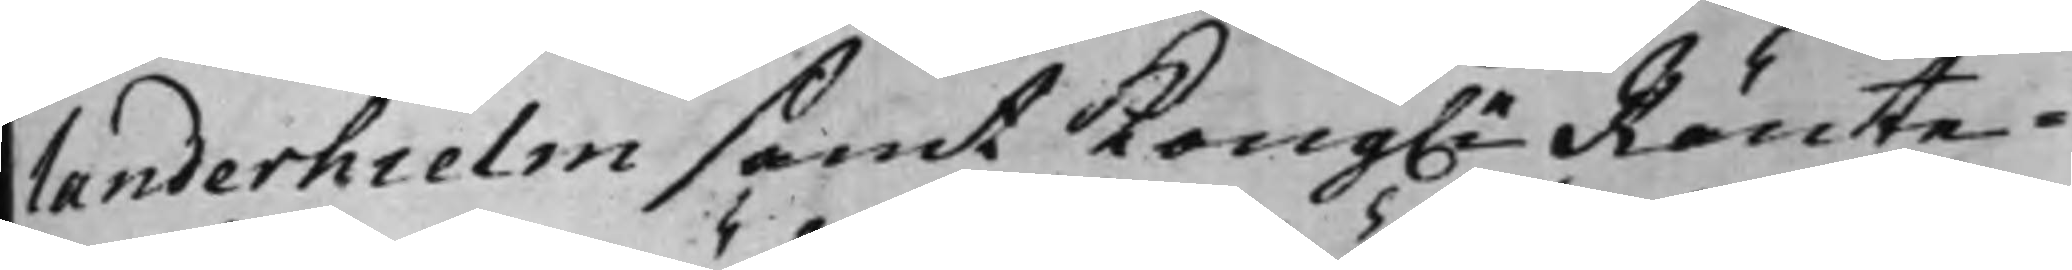landerhielm samt Kong.e Ränte¬
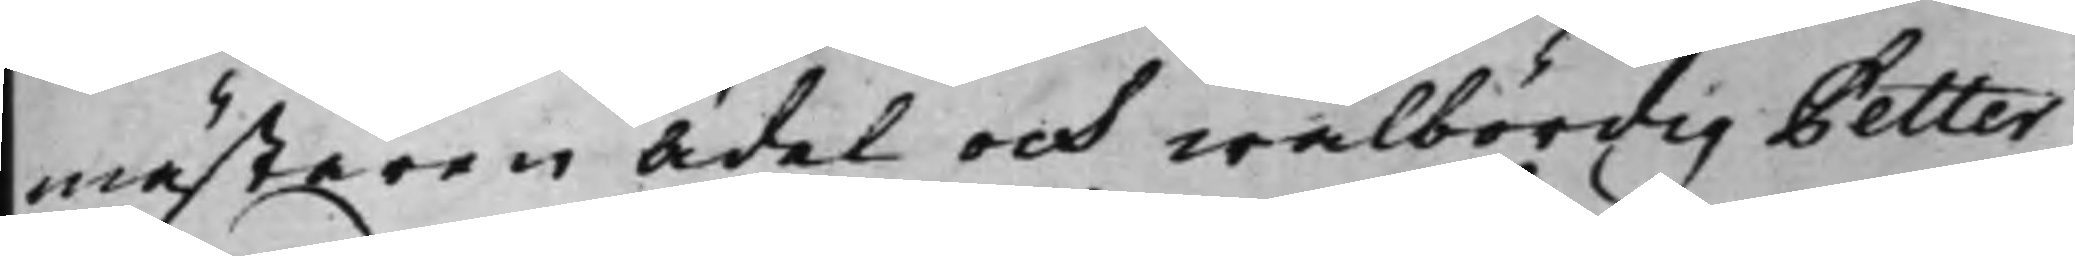mästaren Ädel och wälbördig Petter
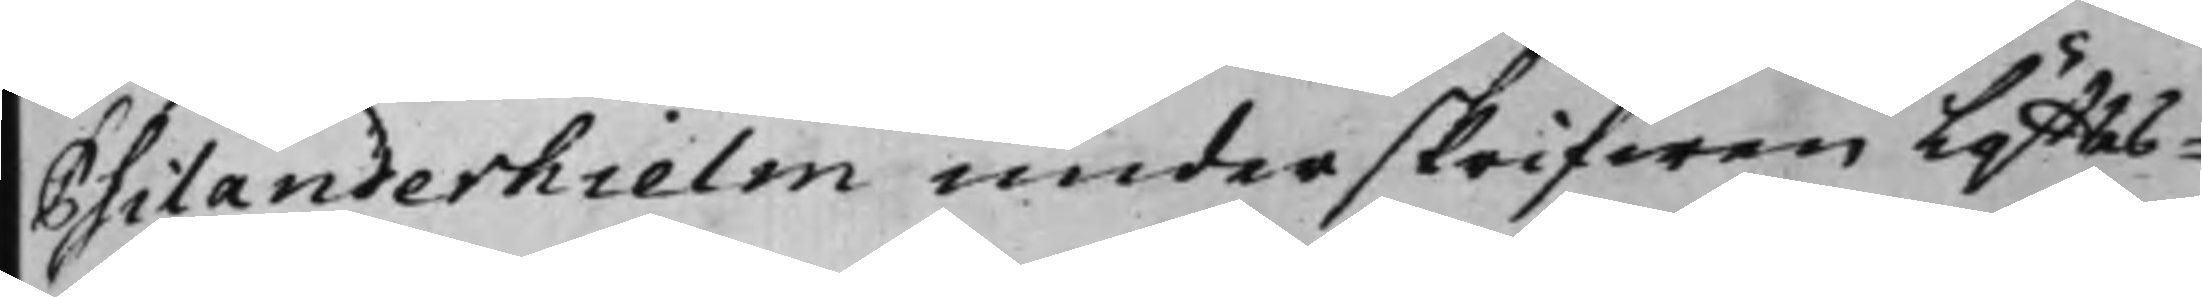Psilanderhielm underskrifwen Löfftes¬
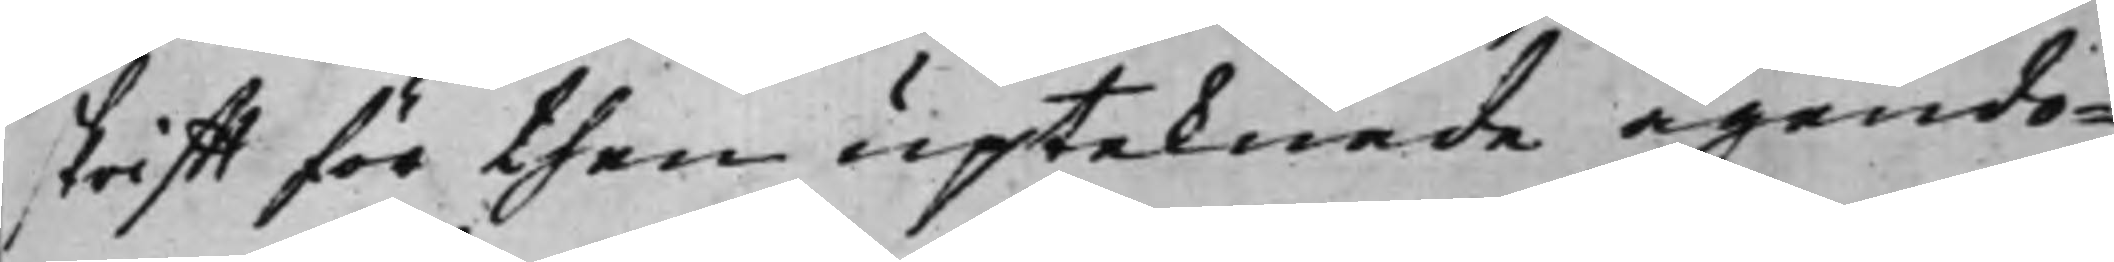skrifft för then upteknade ägendo¬
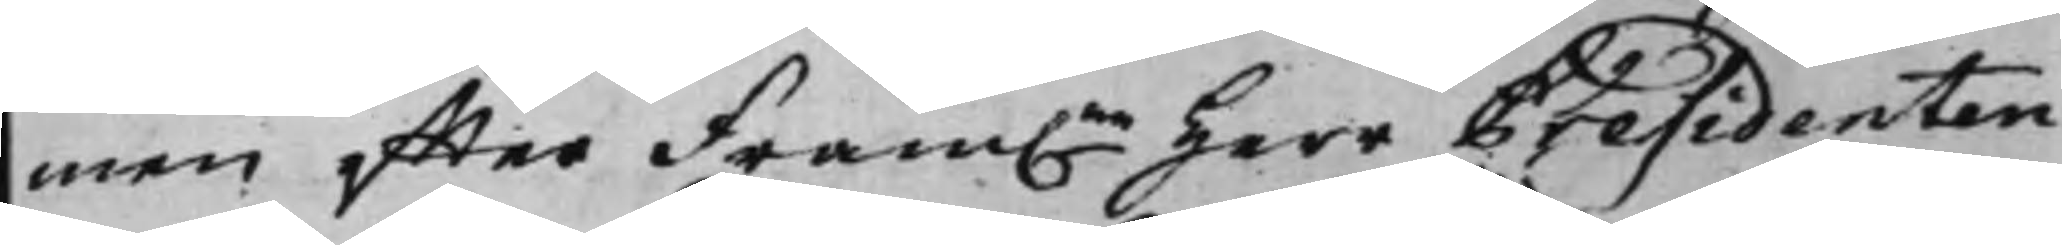men effter Fram.ne Herr Presidenten
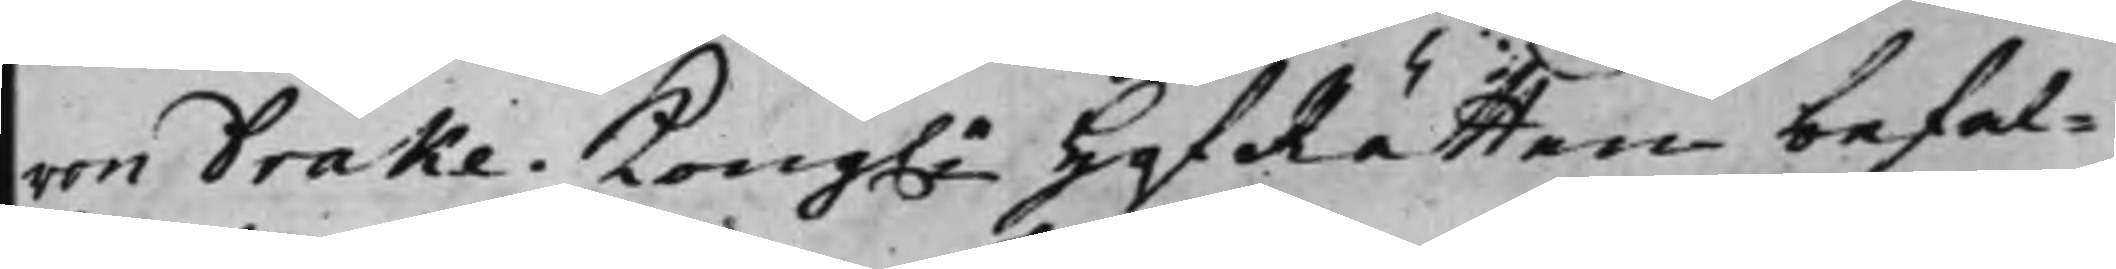von Drake. Kong.e HofRätten befal¬
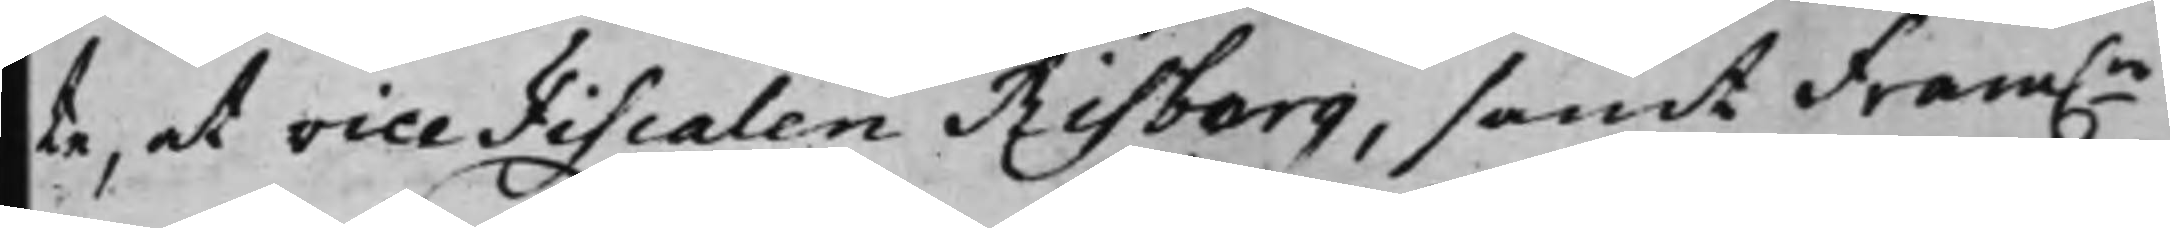te, at vice Fiscalen Risberg, samt Fram.ne
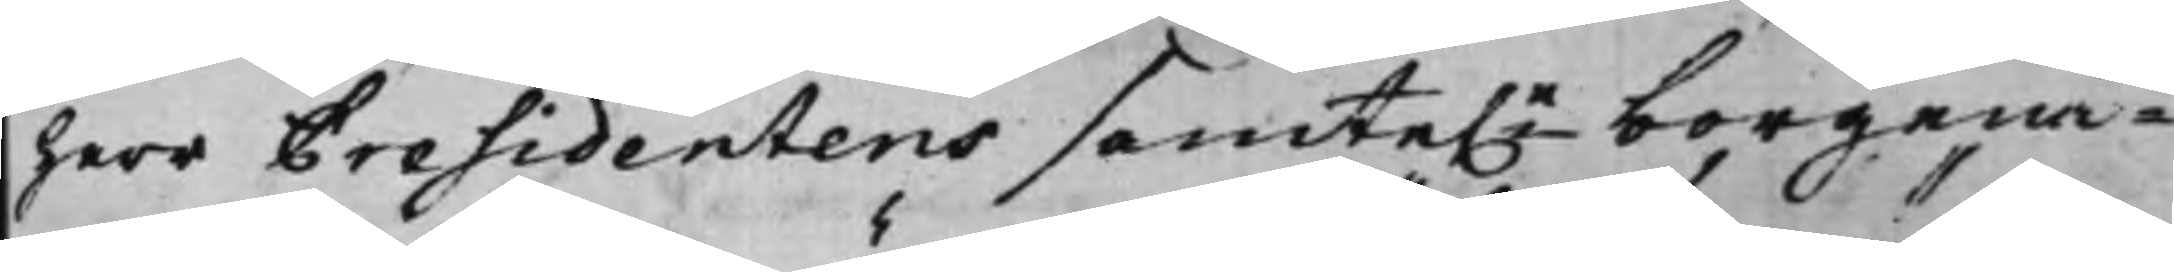Herr Presidentens samte.e borgenä¬
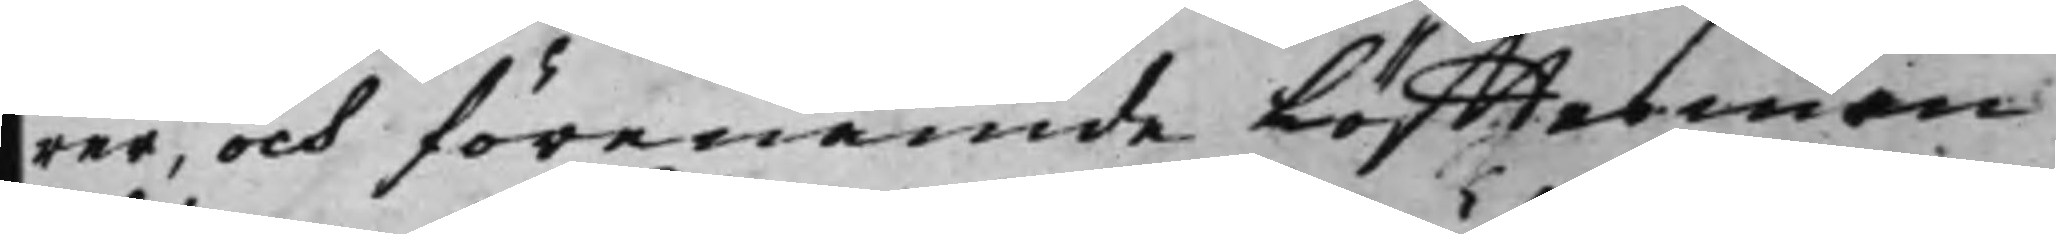rer, och förenämde Löfftesmän
